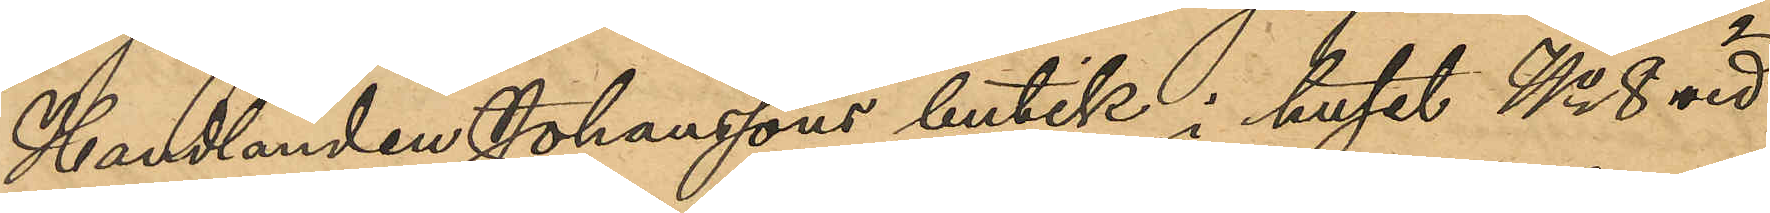Handlanden Johansson butik i huset No 8 vid
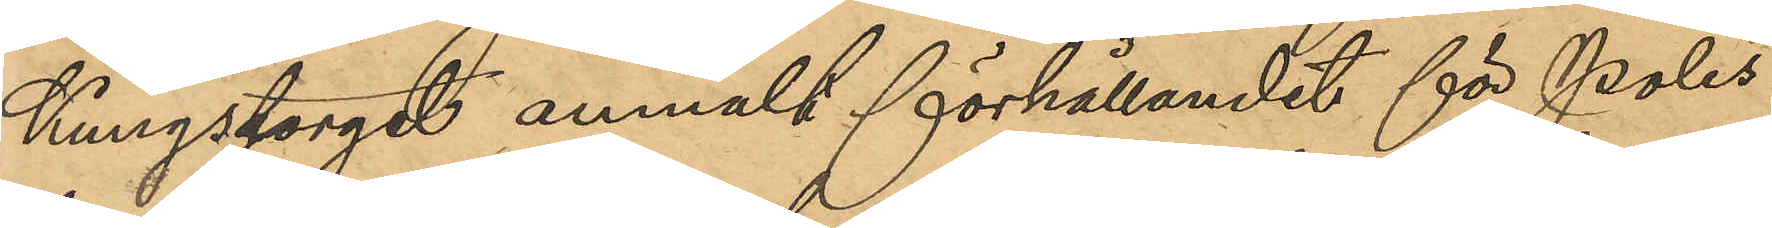Kungstorget anmält förhållandet för Polis¬
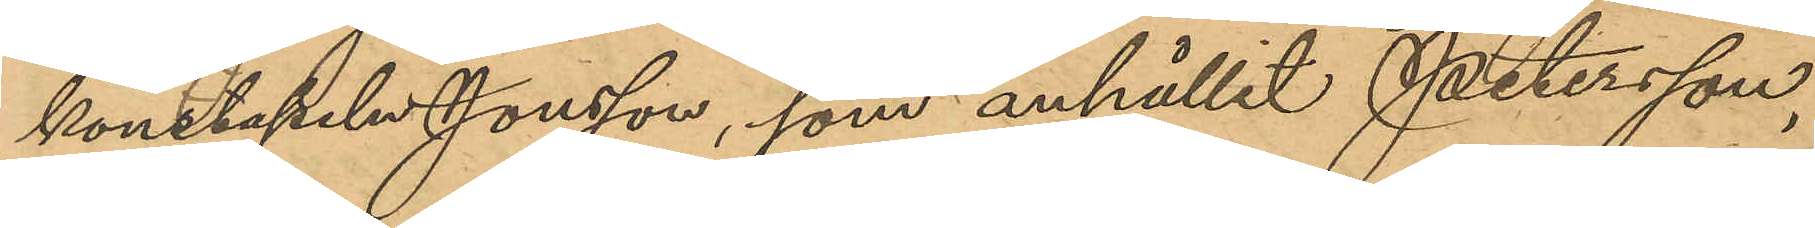konstapeln Jonsson, som anhållit Petersson,
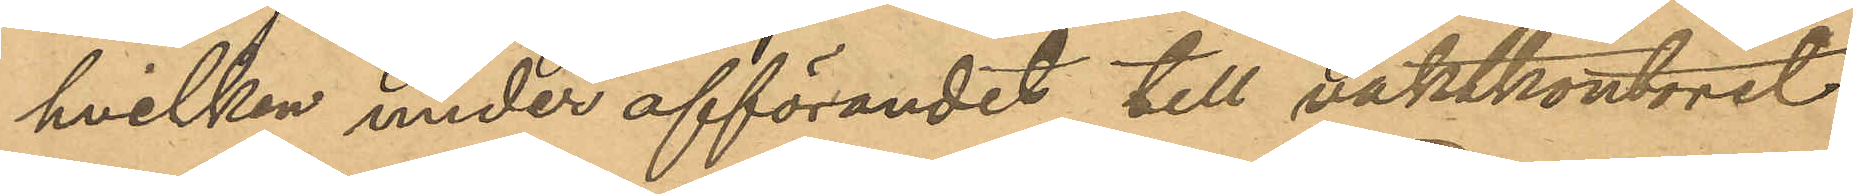hvilken under afförandet till vaktkontoret
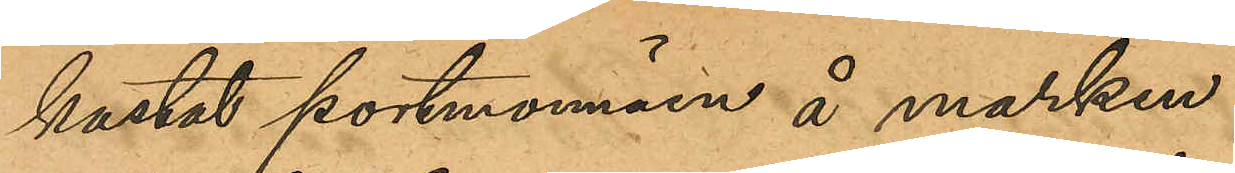kastat portmonnäen å marken.
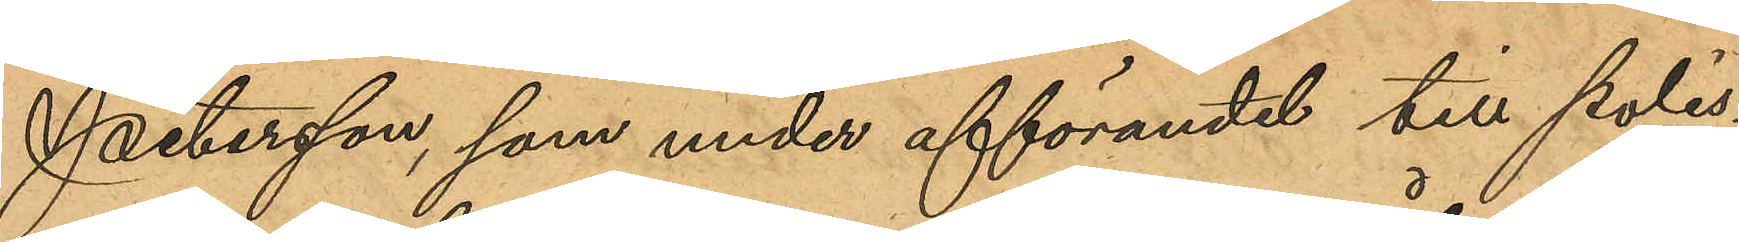Petersson, som under afförandet till polis¬
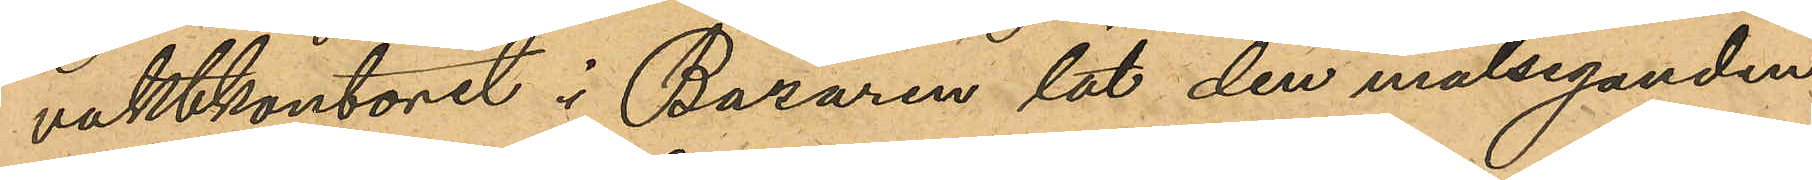vaktkontoret i Bazaren lät den målseganden
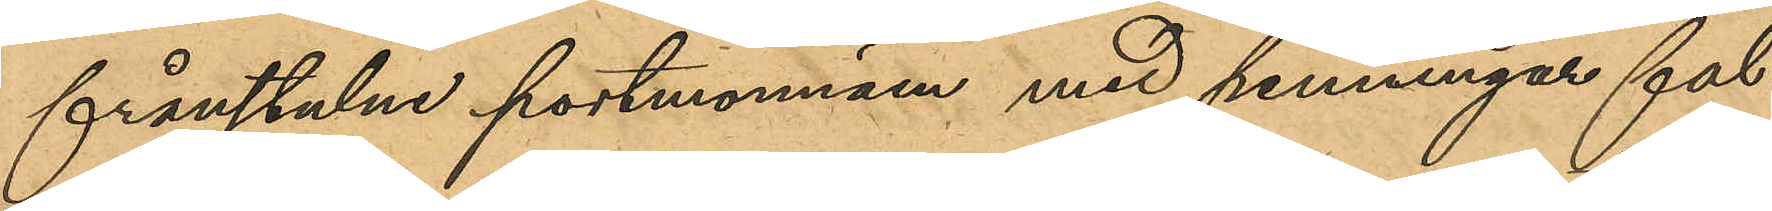frånstulna portmonnäen med penningar fal¬
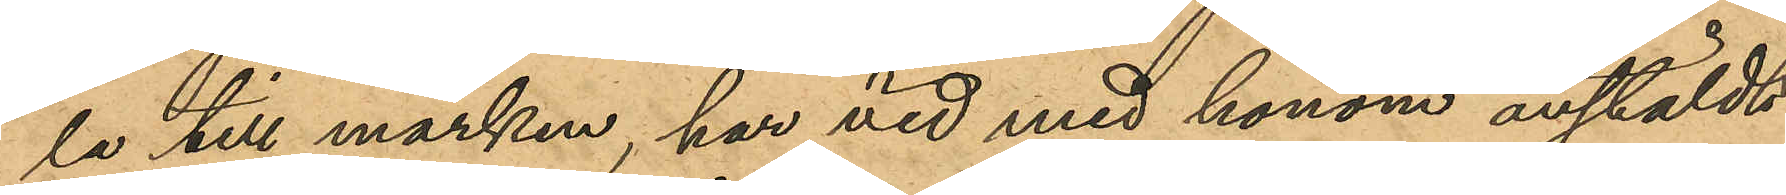la till marken, har vid med honom anstäldt
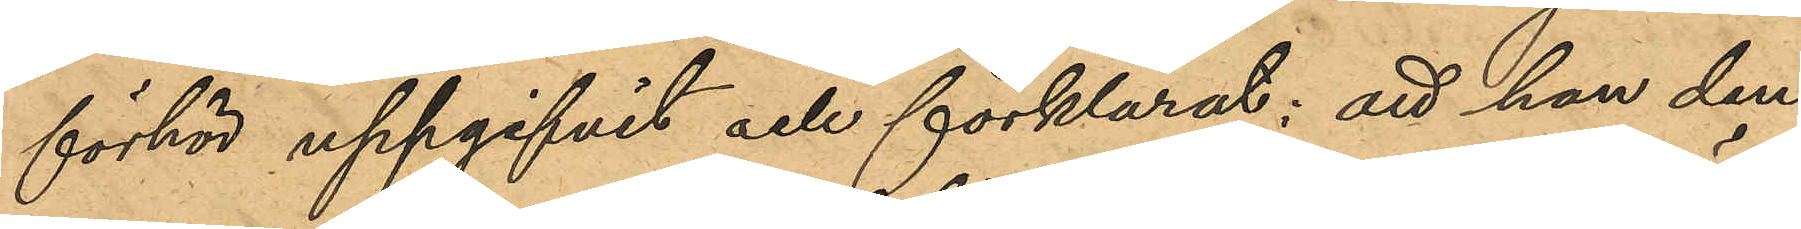förhör uppgifvit och förklarat: att han den
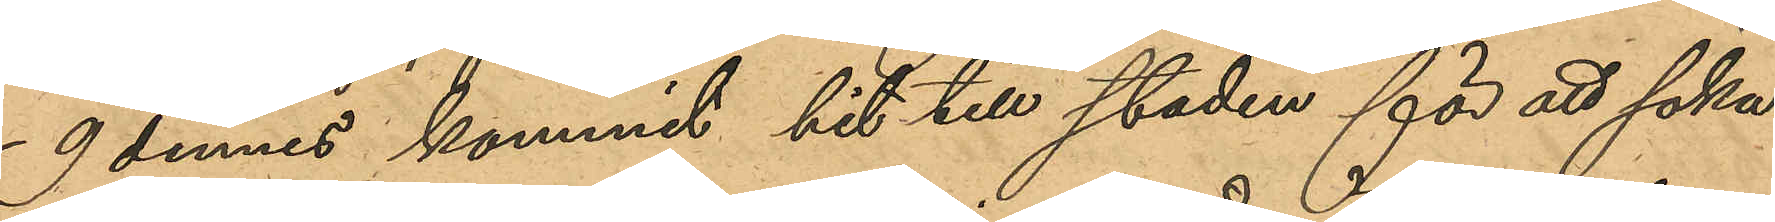9 dennes kommit hit till staden för att söka
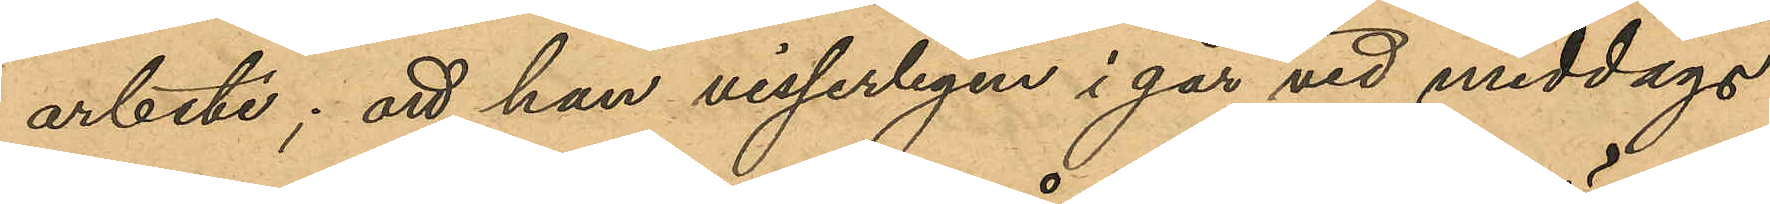arbete; att han visserligen i går vid middags¬
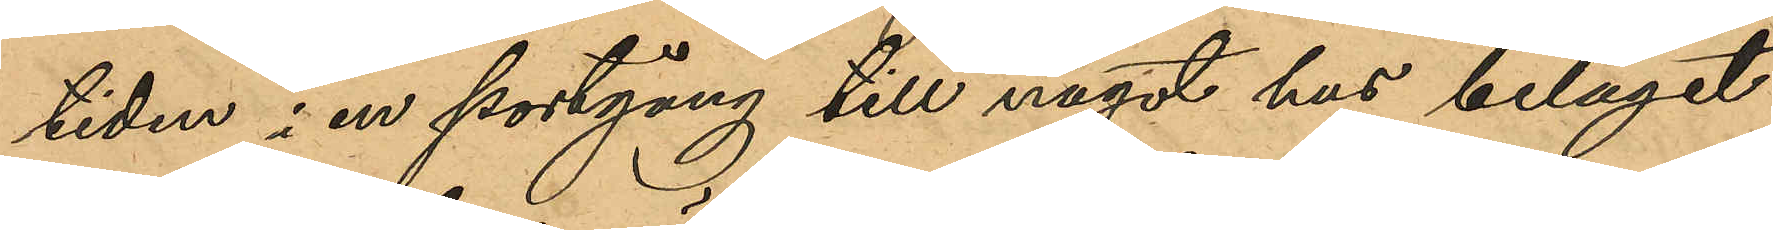tiden i en portgång till något hus beläget
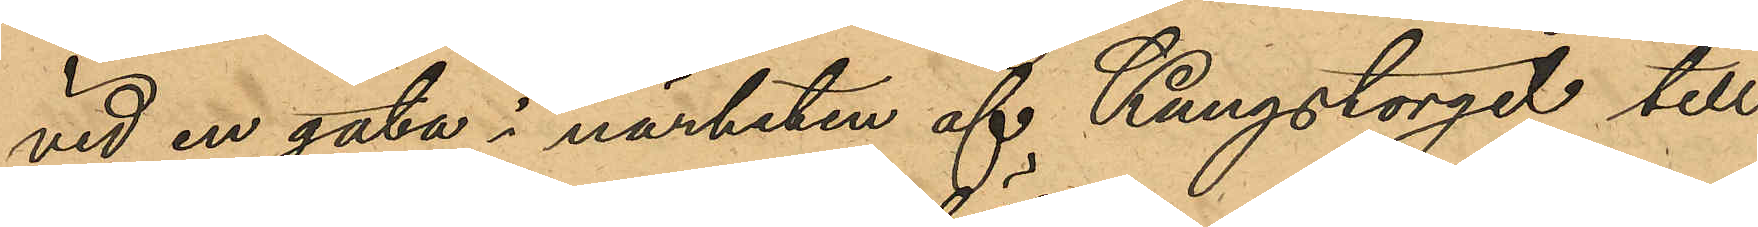vid en gata i närheten af Kungstorget till
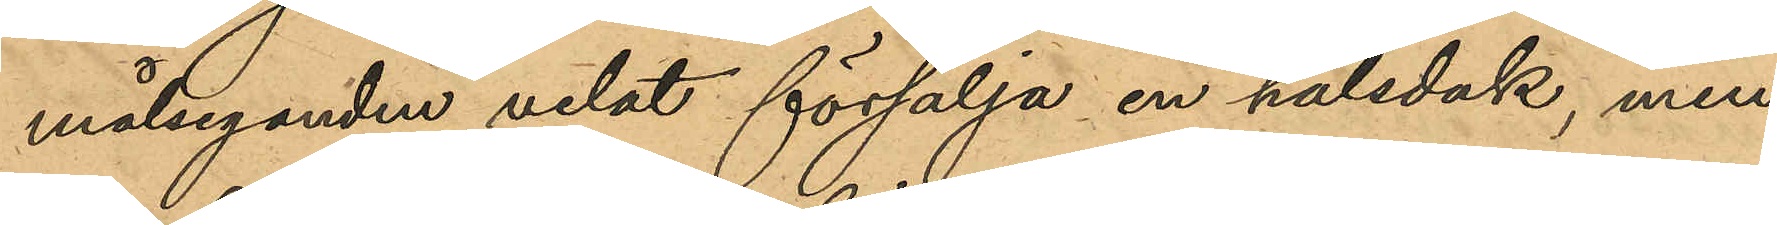målseganden velat försälja en halsduk, men
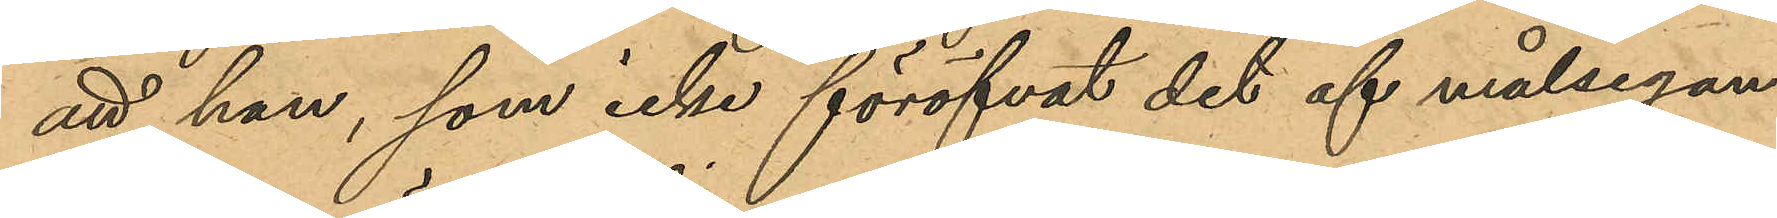att han, som icke föröfvat det af målsegan¬
